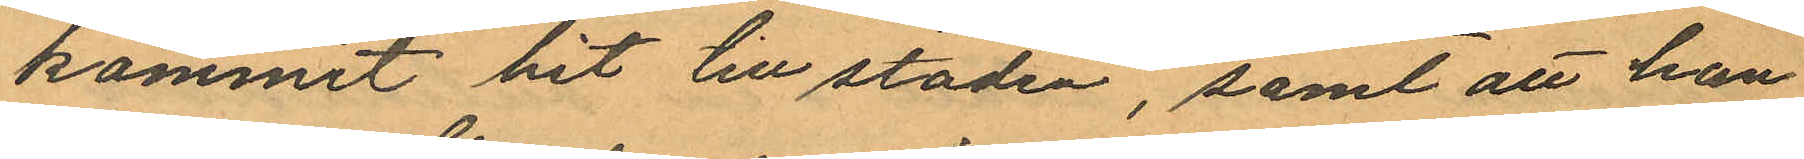kommit hit till staden, samt att han
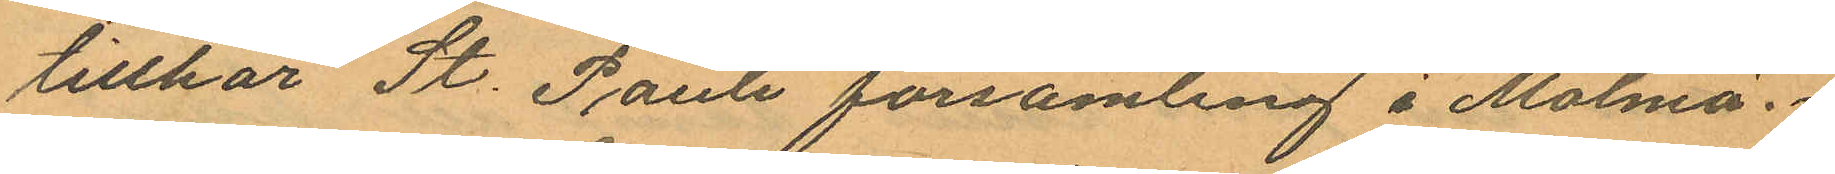tillhör St. Pauli församling i Malmö.
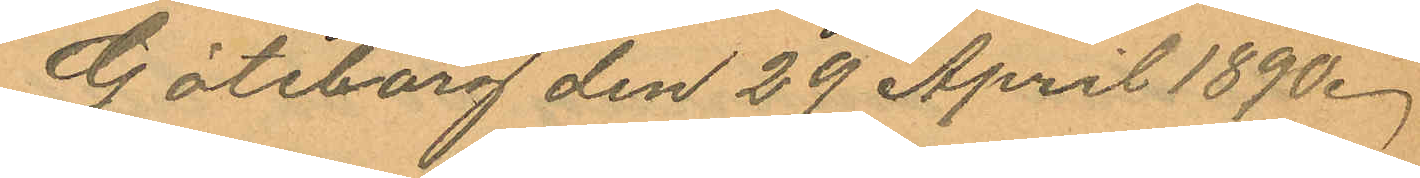Göteborg den 29 April 1890.
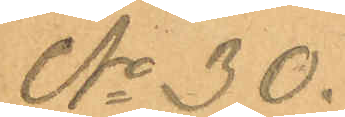No 30.
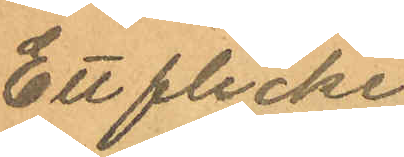Ett flicke
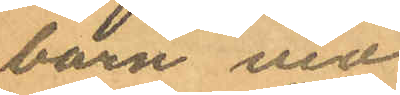barn vid
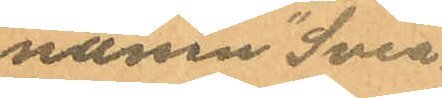namn "Svea".
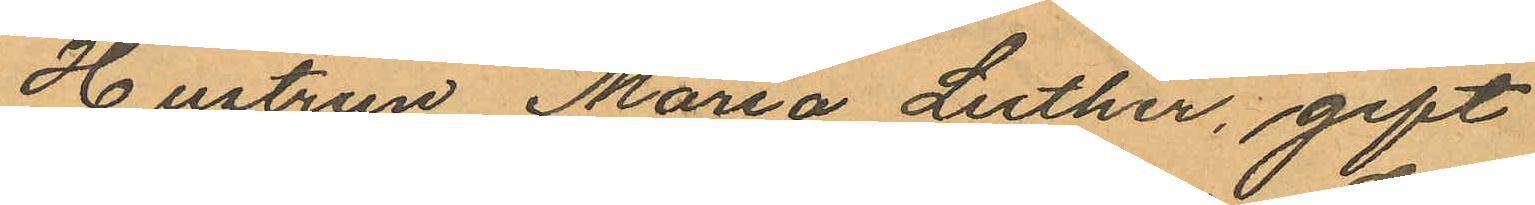Hustrun Maria Luther, gift
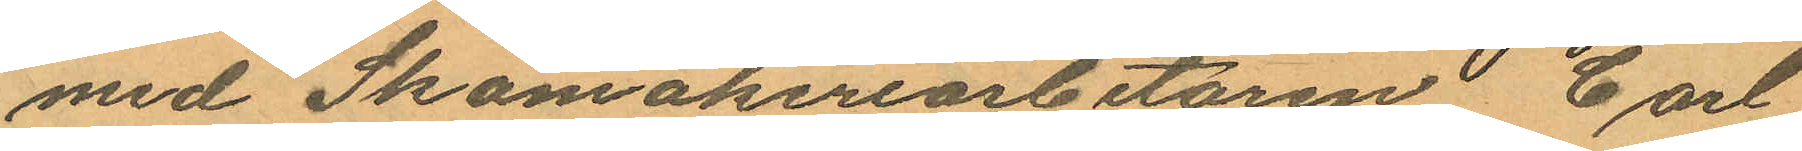med Skomakeriarbetaren Carl
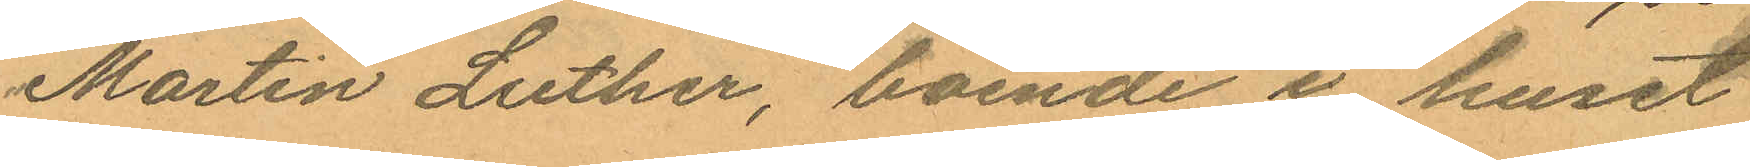Martin Luther, boende i huset
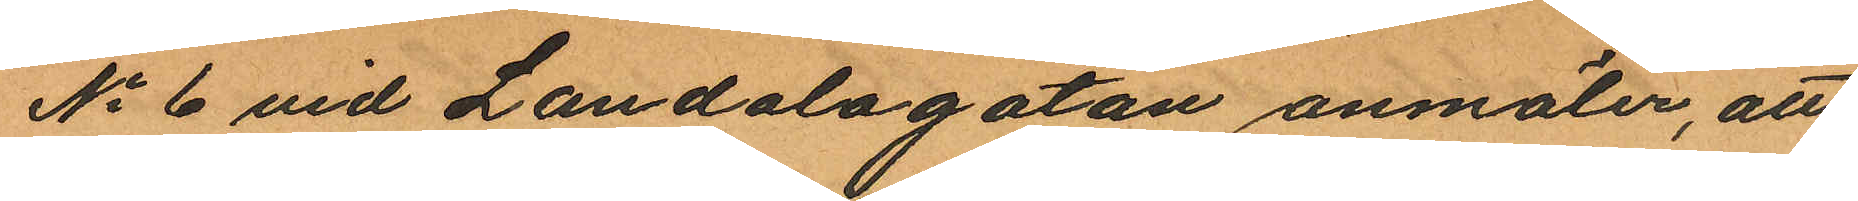No 6 vid Landalagatan anmäler, att
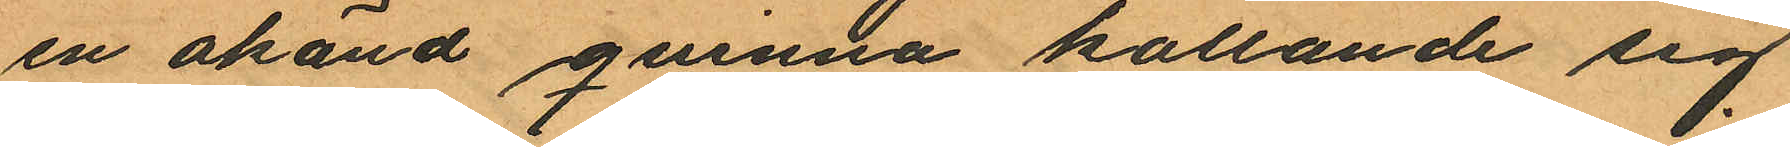en okänd qvinna kallande sig
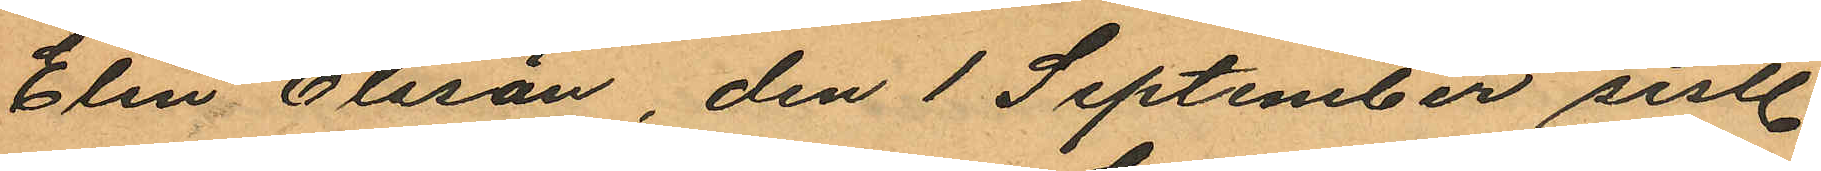Elin Olsson, den 1 September sistl.
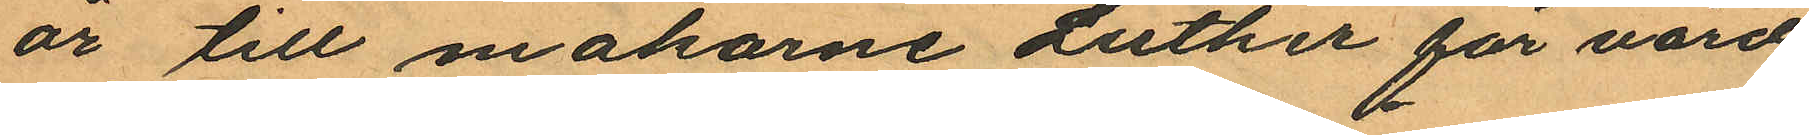år till makarne Luther för vård
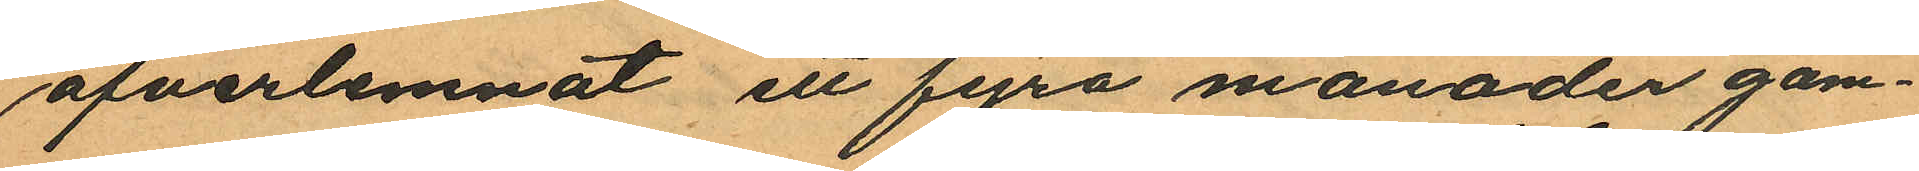öfverlemnat ett fyra månader gam¬
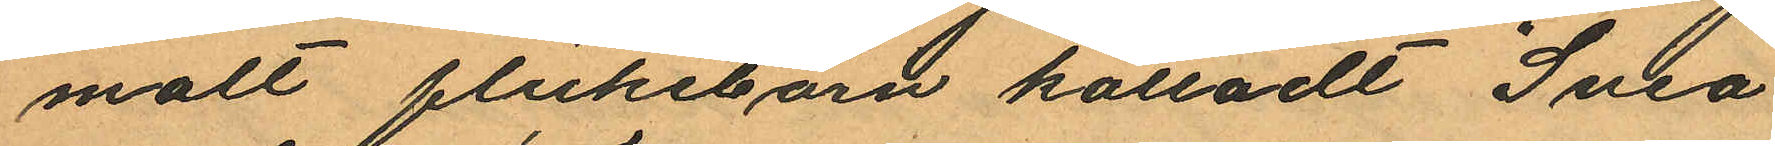malt flickebarn kalladt "Svea",
